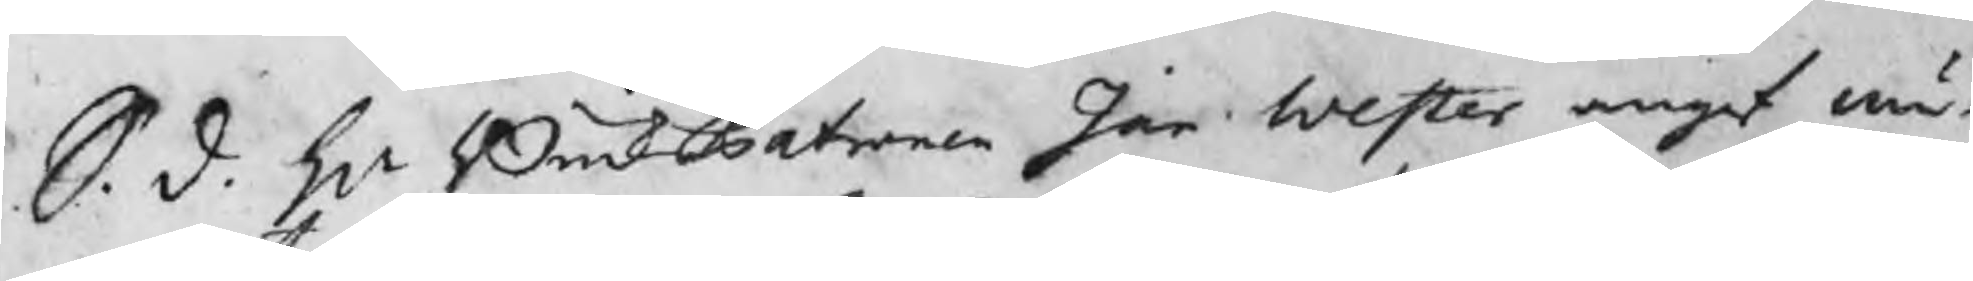S. d. Hr BruksPatron Jan Wester angaf mä¬
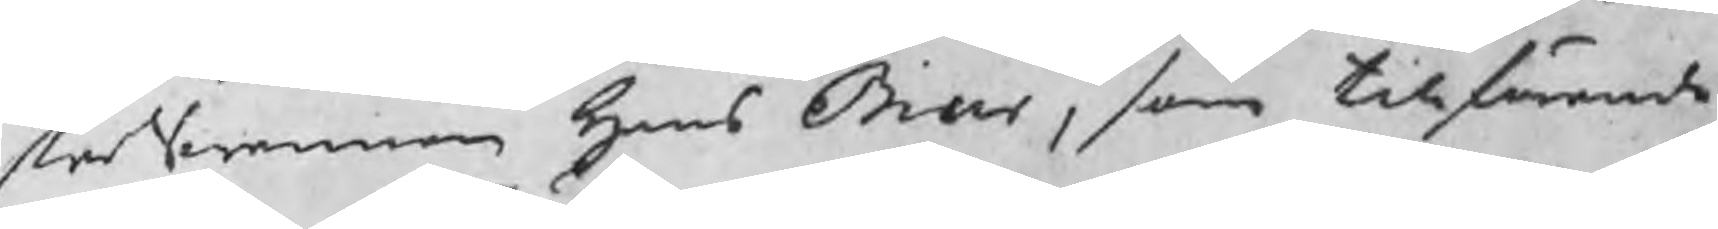sterSwennen Hans Biur, som tillförende
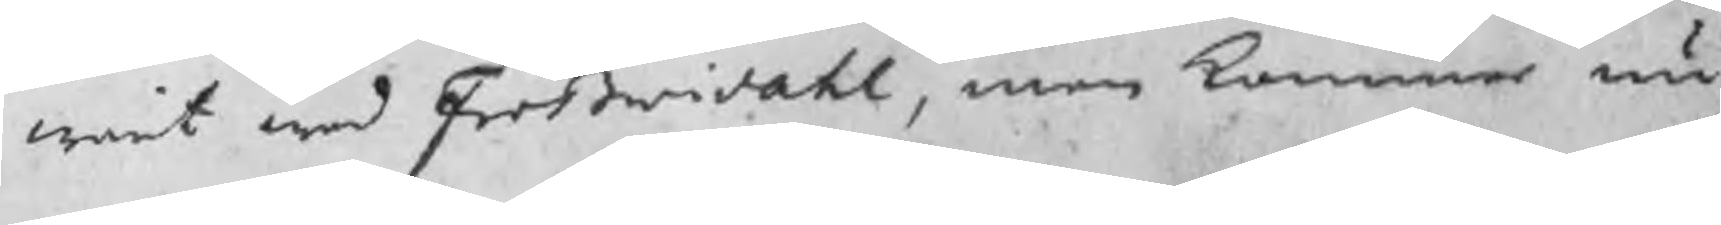warit wed Frößwidahl, men kommer nu
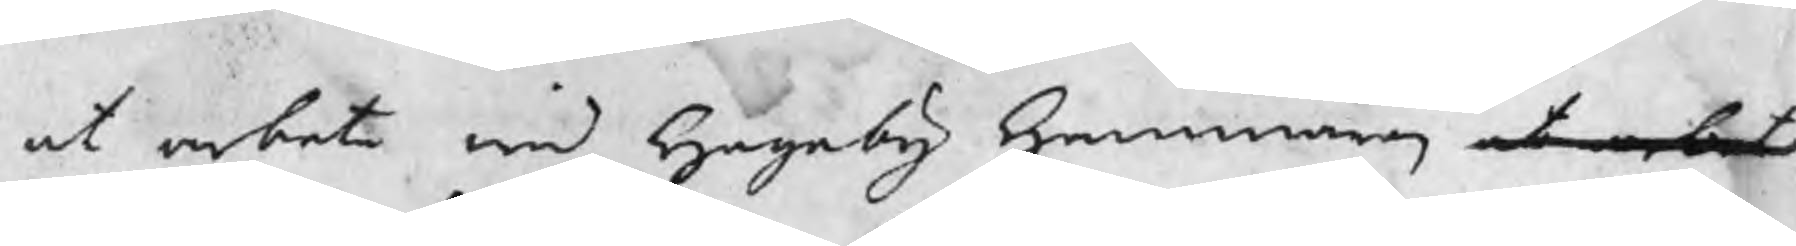at arbeta wid Hageby Hammaren at arbeta
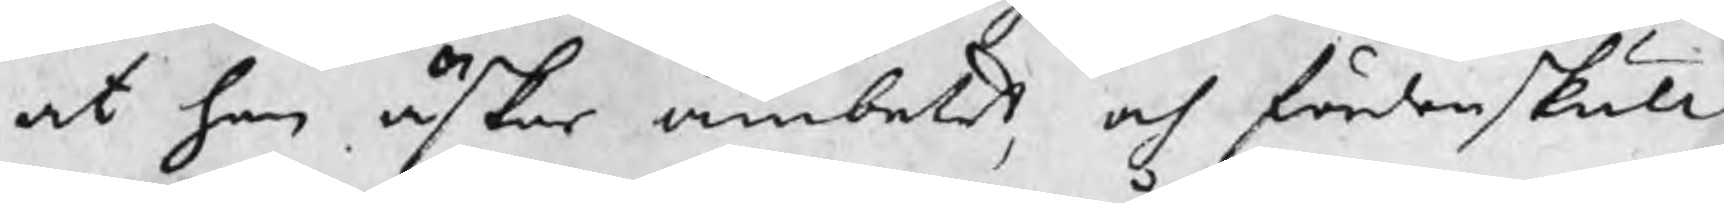at han äskar ämbetet, och fördenskull
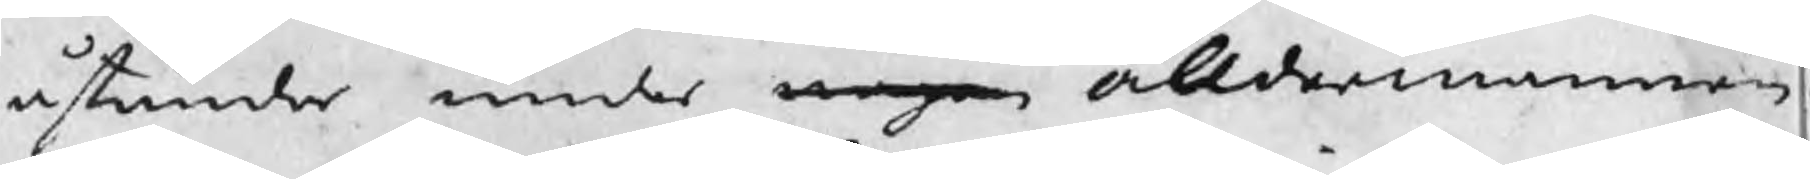åstundar under nagon åldermannen
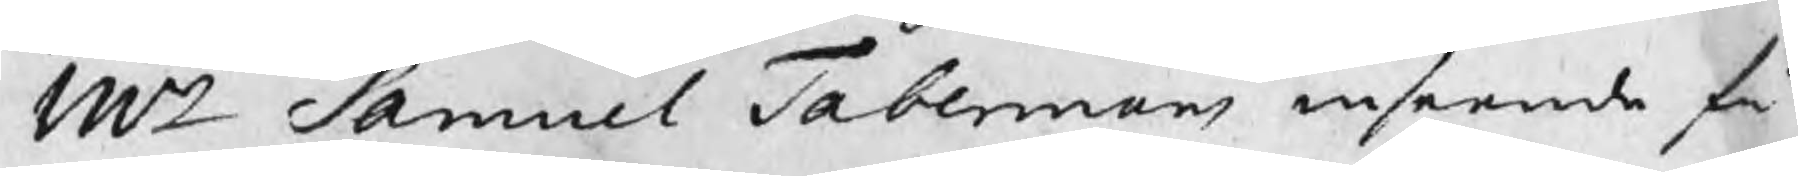Mr Samuel Tabermans inseende få
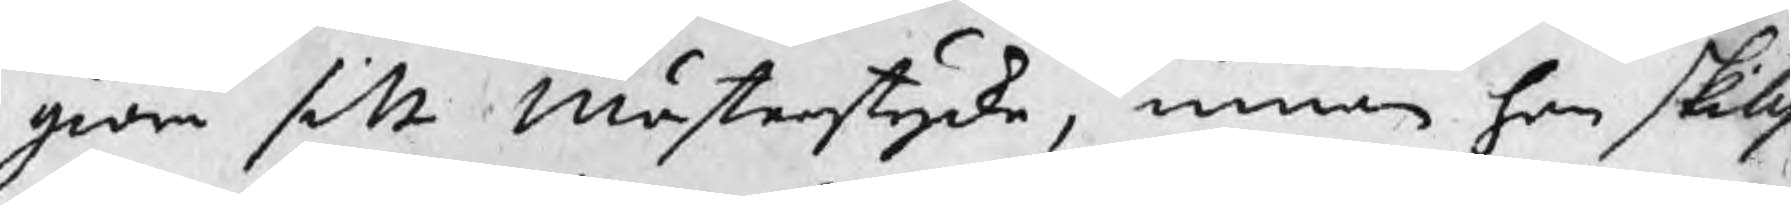giöra sitt Mästerstycke, innan han skills
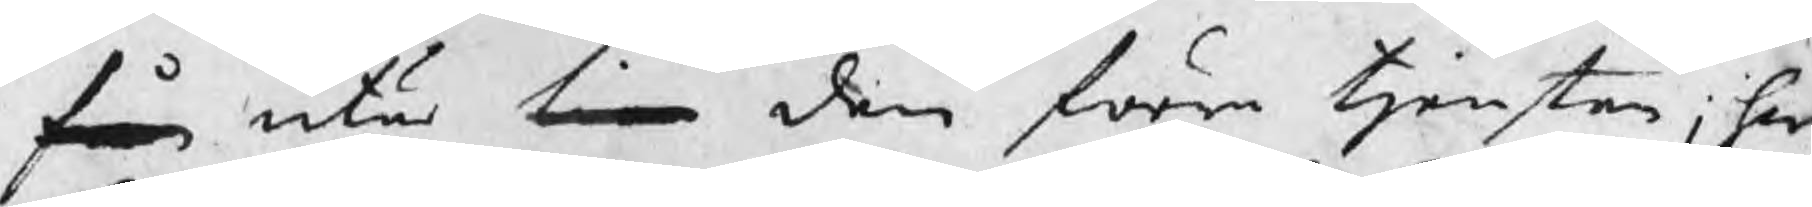från utur tien den förra tjensten; hwi
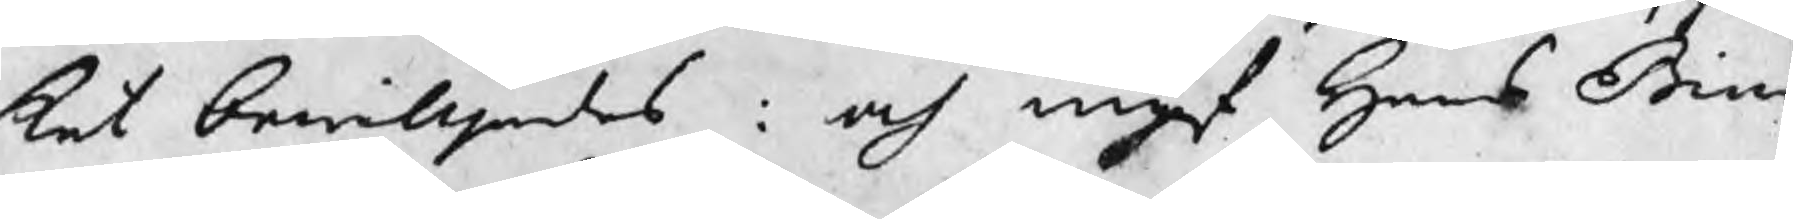ket bewilljades : och ingaf Hans Biur
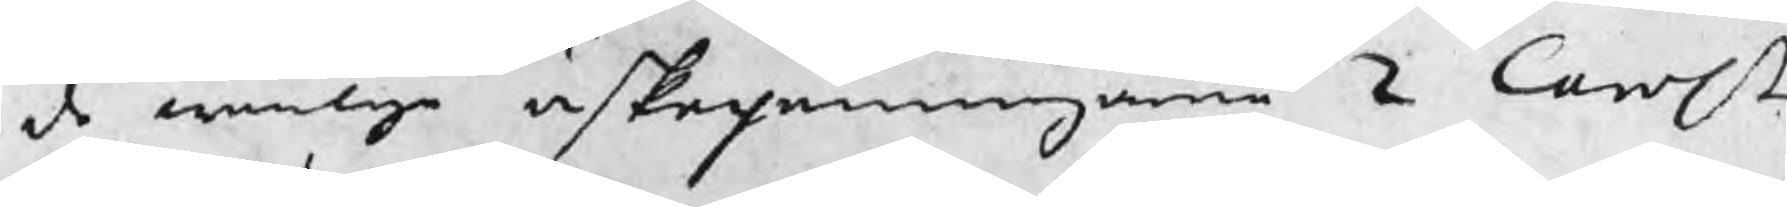de wanliga äskepenningarne 2 Carol.
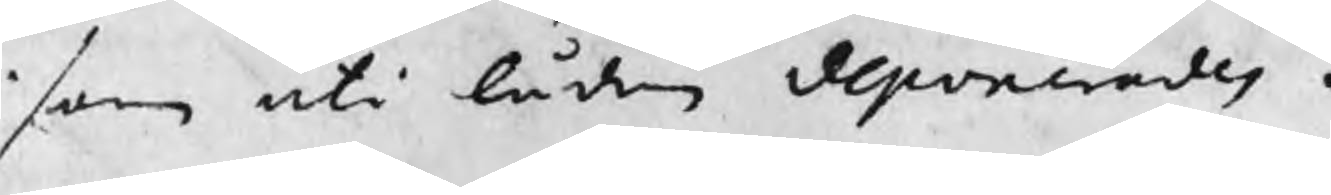som uti lådan deponerades.
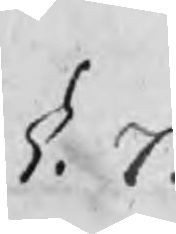§. 7.
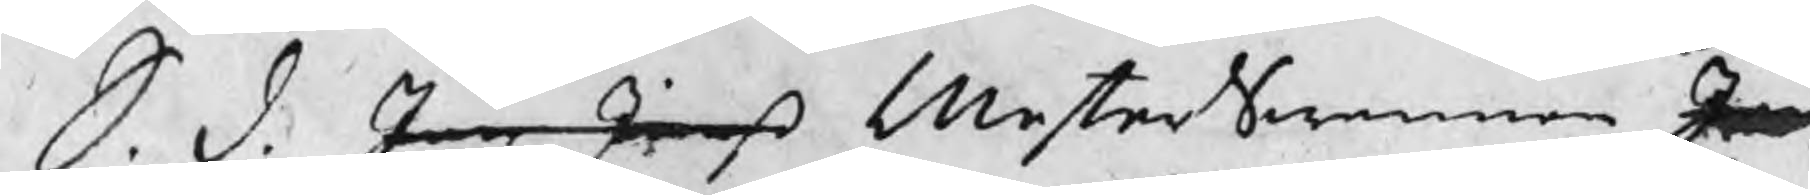S. d. Jan Janß MesterSwennen Jan
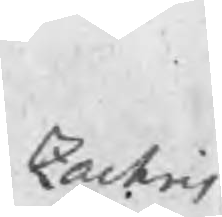Zachris
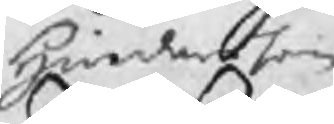Hinderson
